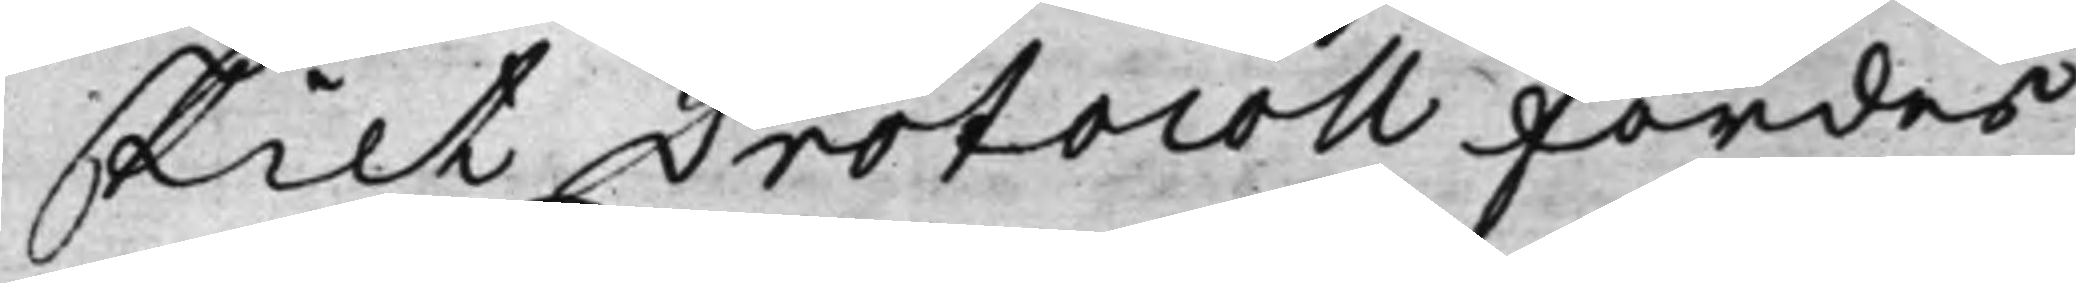skilt Protocoll fördes
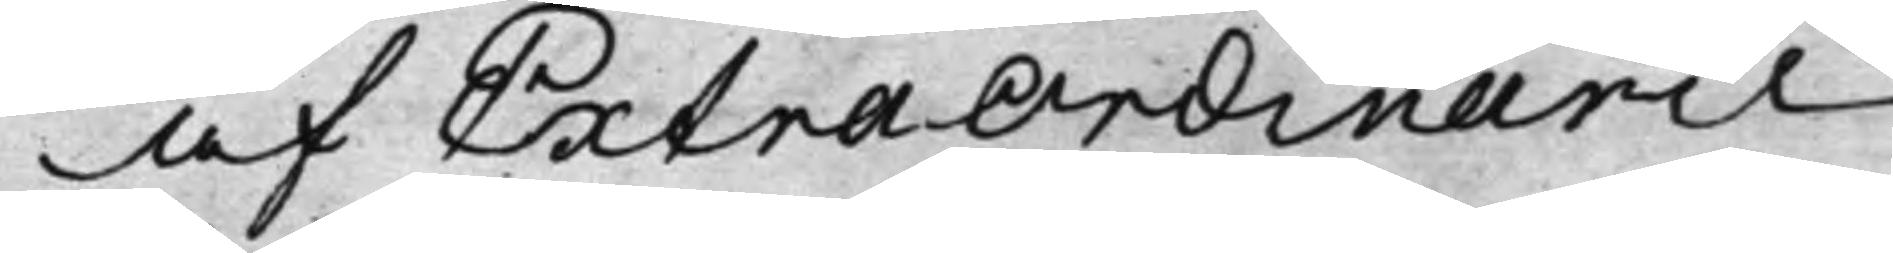af ExtraOrdinarie
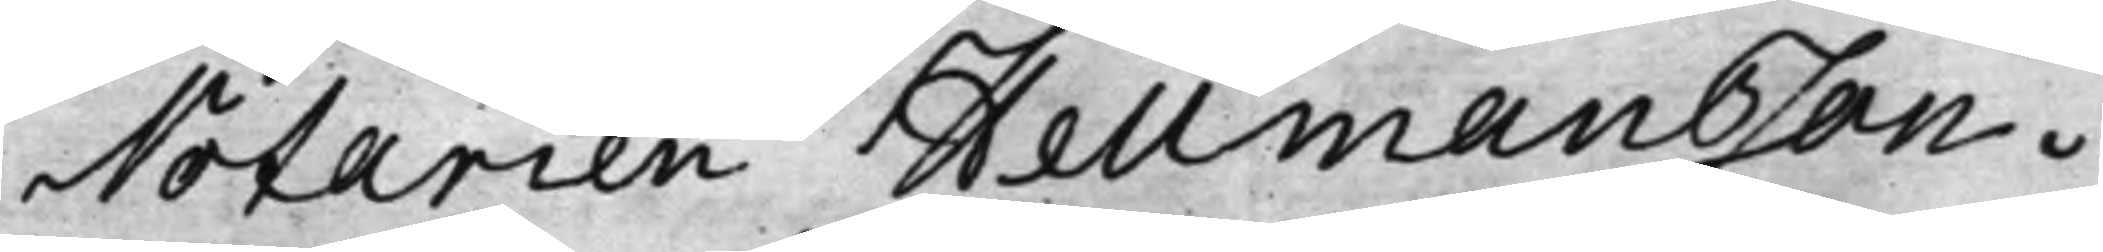Notarien Hellmansson.
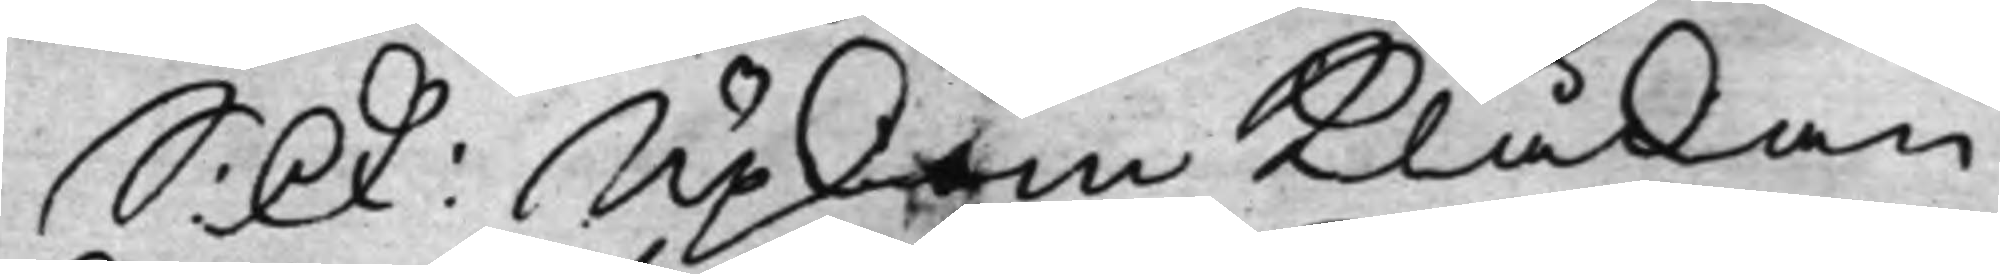S: D: Upkom Klåkan
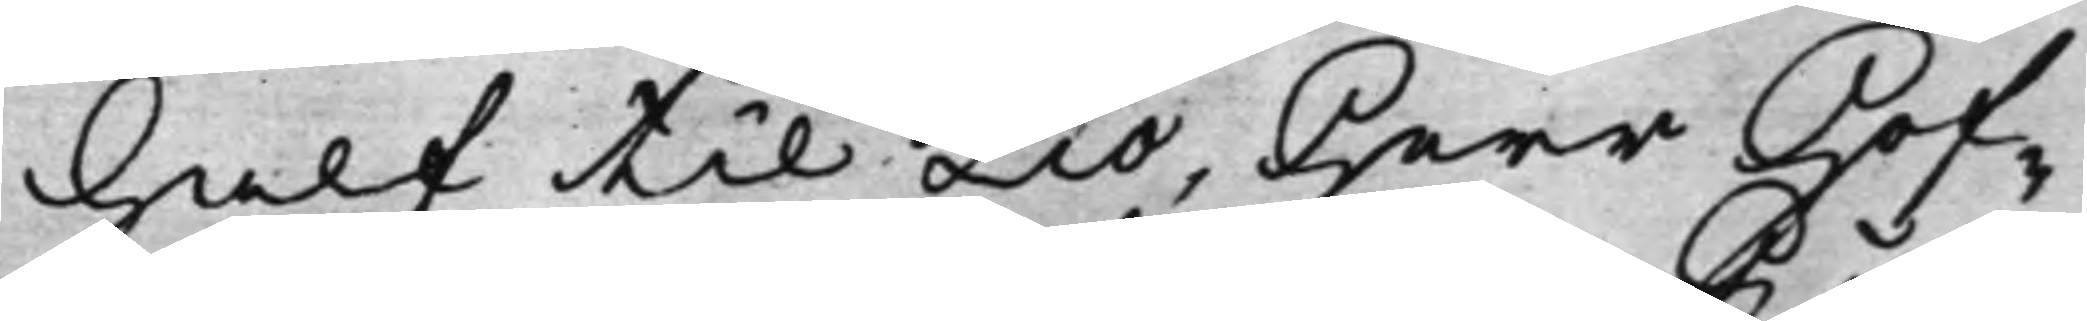half til Tio, Herr Hof¬
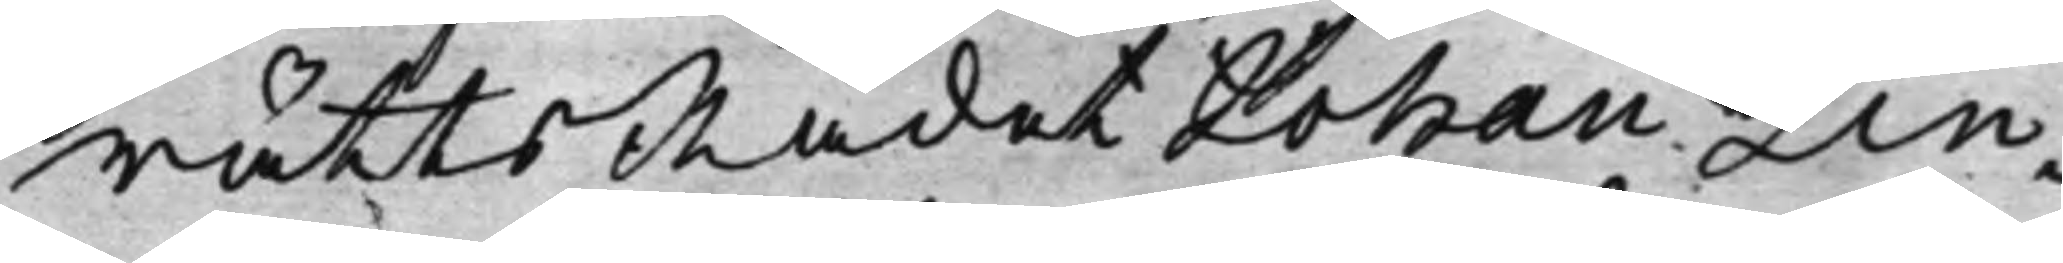rättsRådet Johan Lin¬
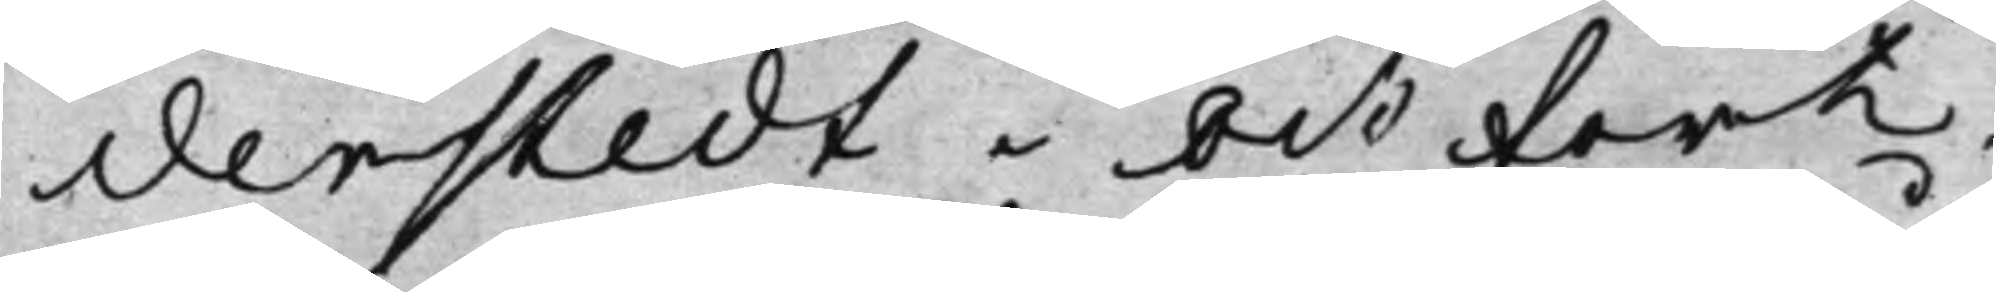derstedt och fort¬
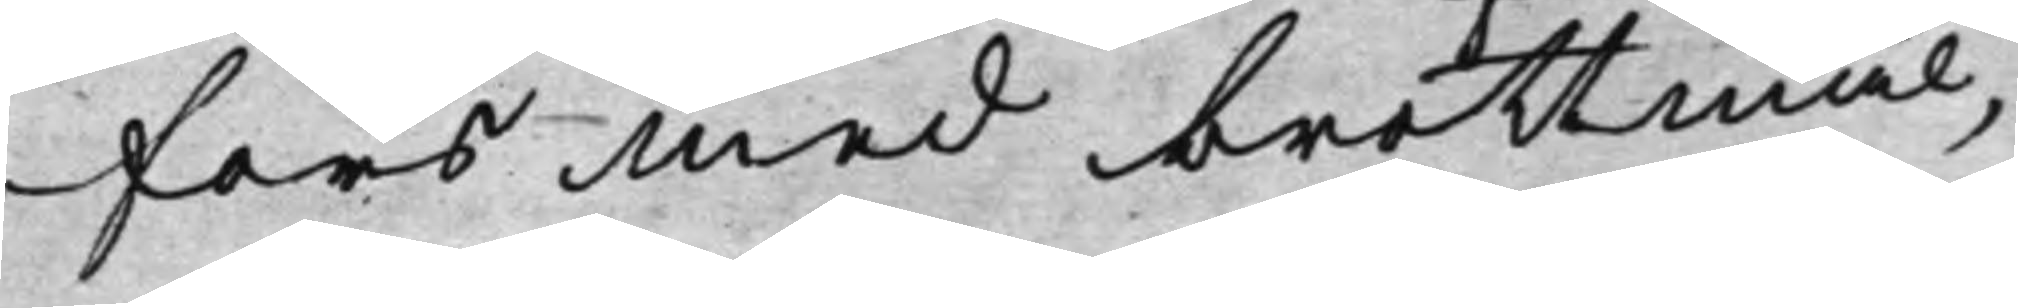fors med brottmål,
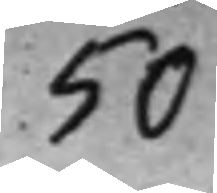50
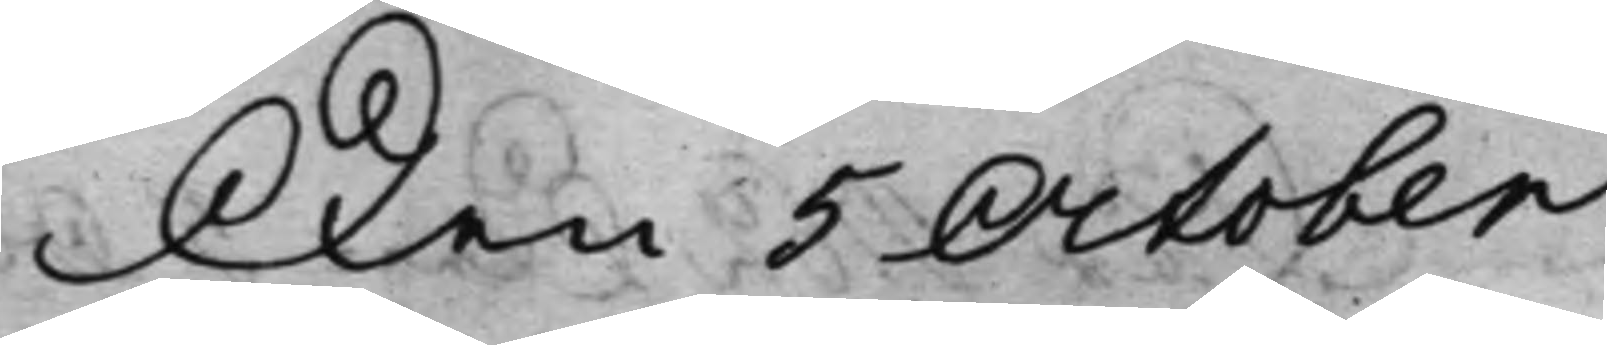Den 5 October
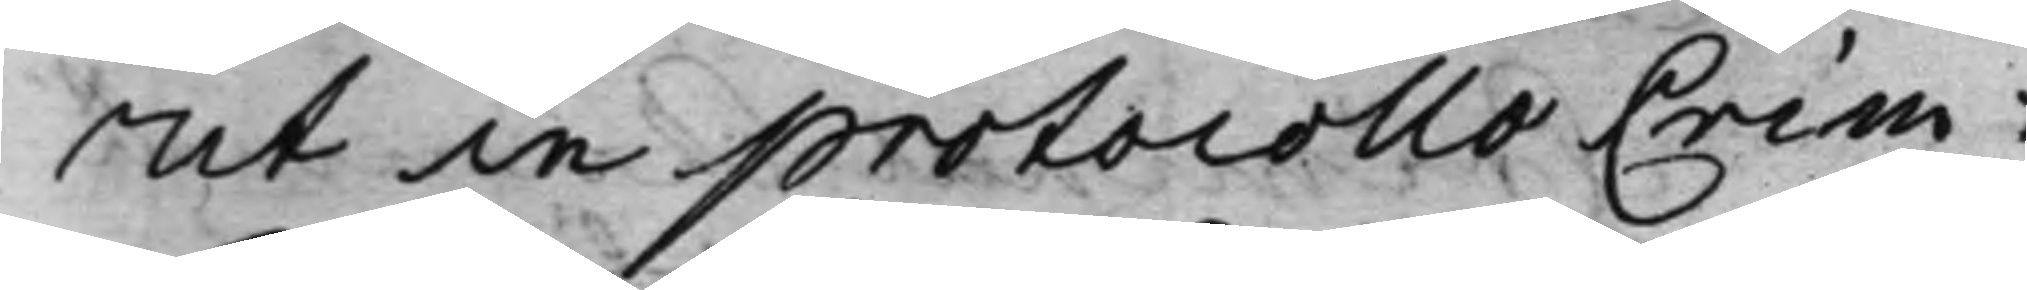ut in protocollo Crim:
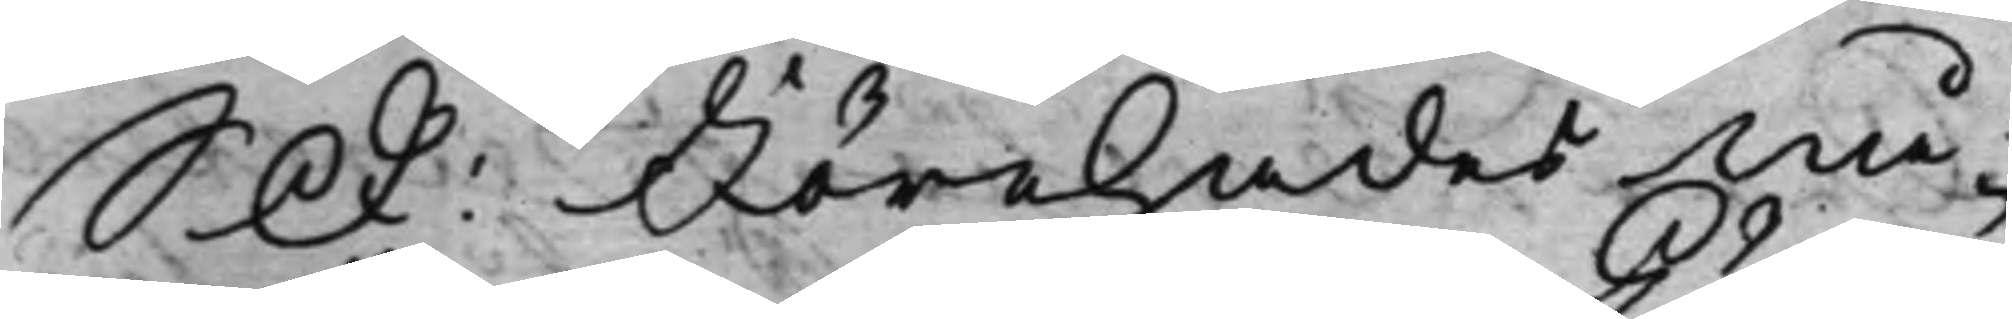S D: Förehades Nå¬
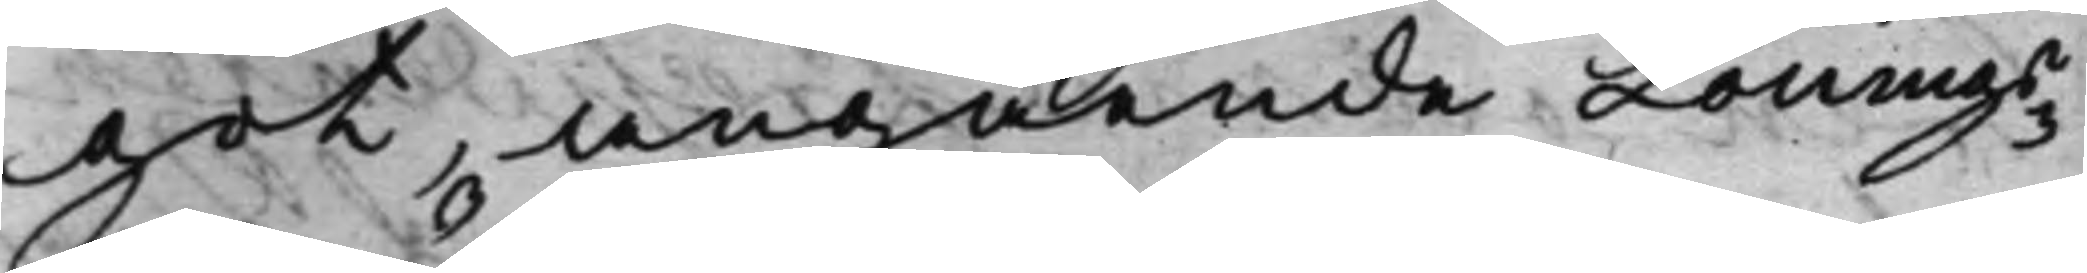got, angående Lönings¬
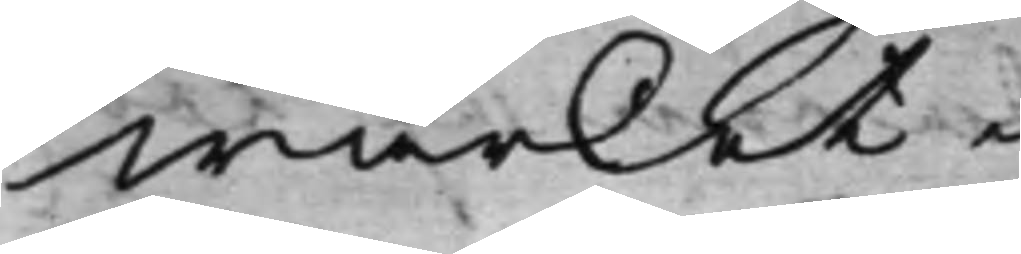wärket.
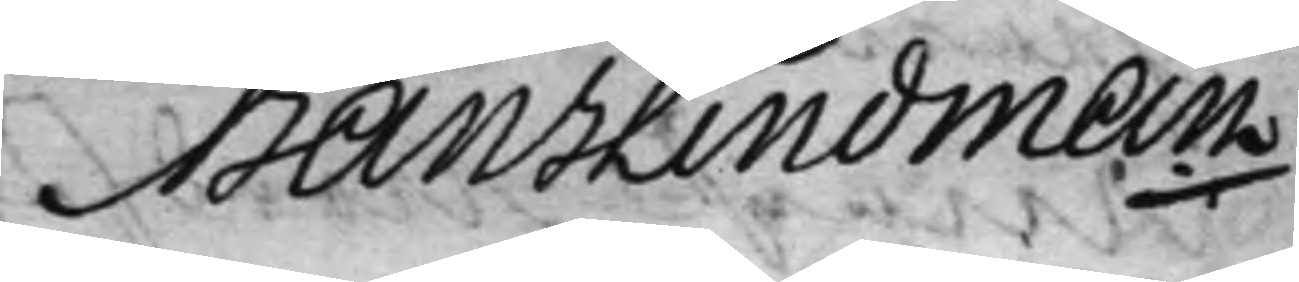Hans Lindman
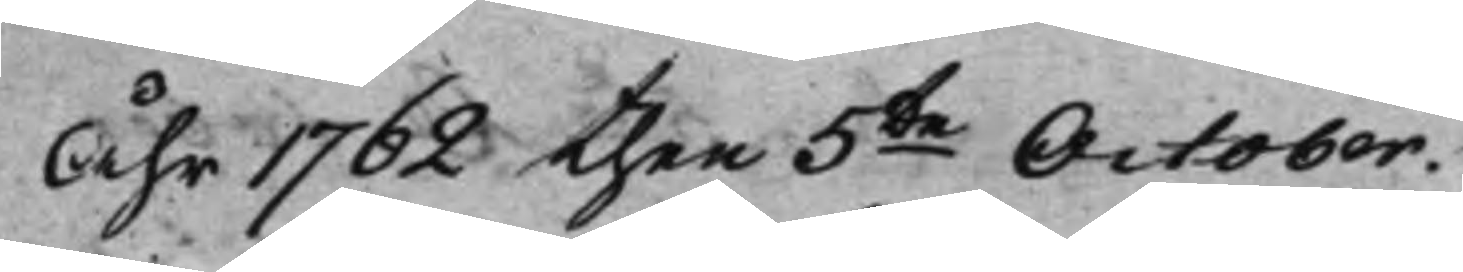Åhr 1762 then 5te October.
